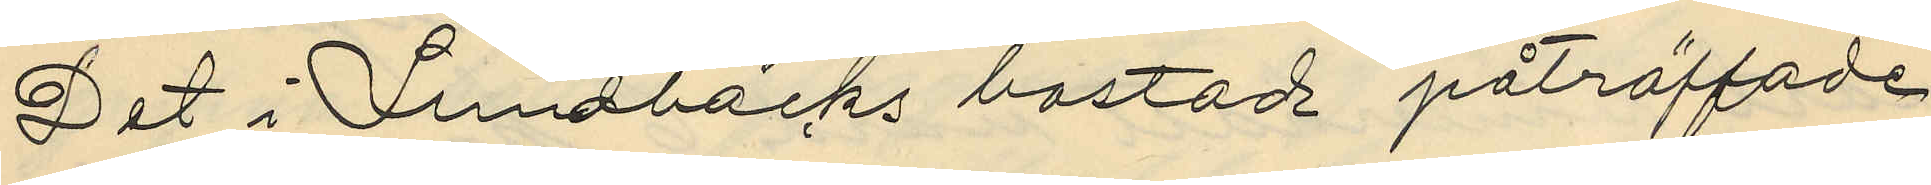Det i Lundbäcks bostad påträffade
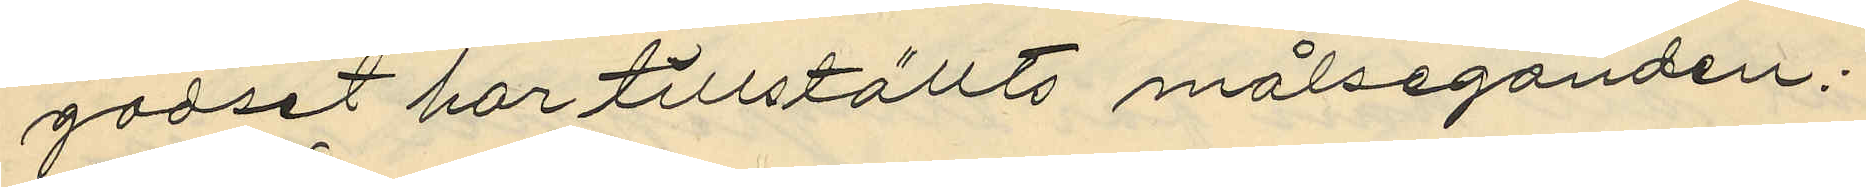godset har tillställts målseganden.
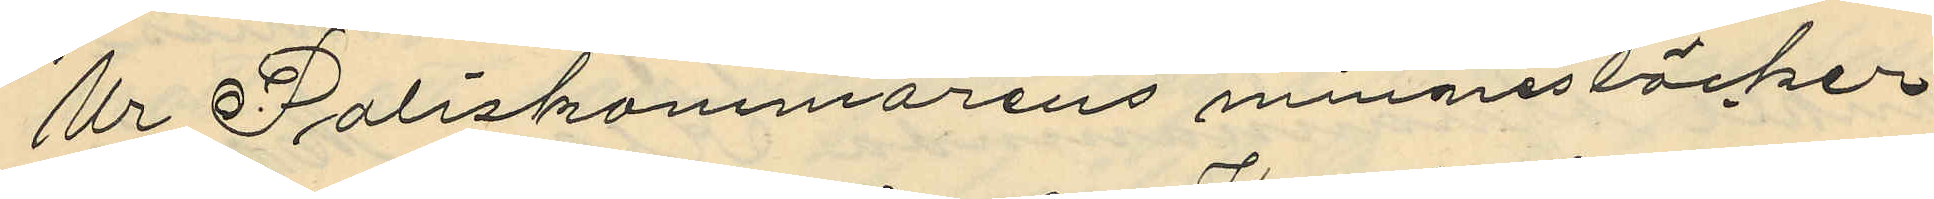Ur Poliskammarens minnesböcker
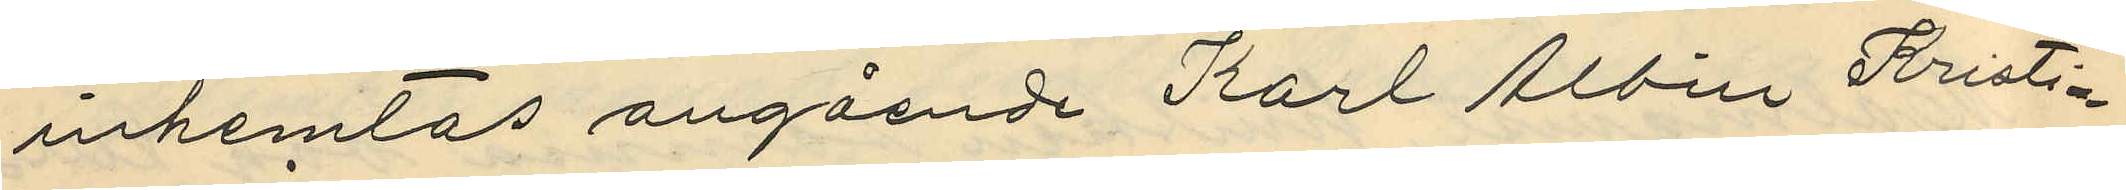inhemtas angående Karl Albin Kristia¬
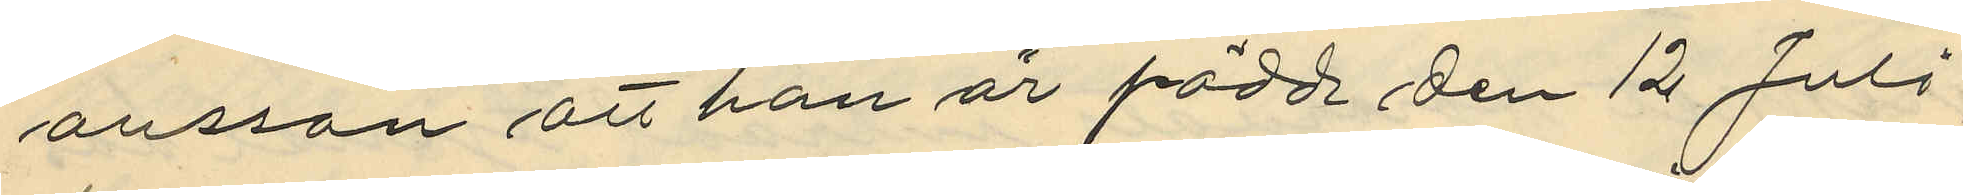ansson att han är född den 12 Juli
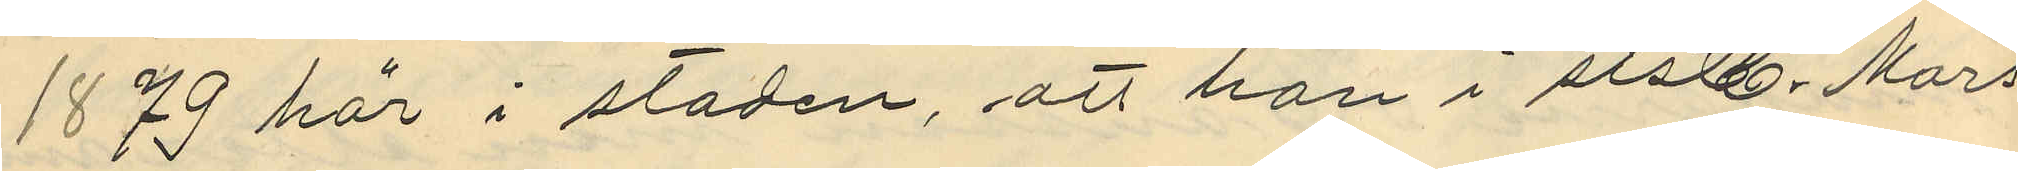1879 här i staden, att han i slst. Mars
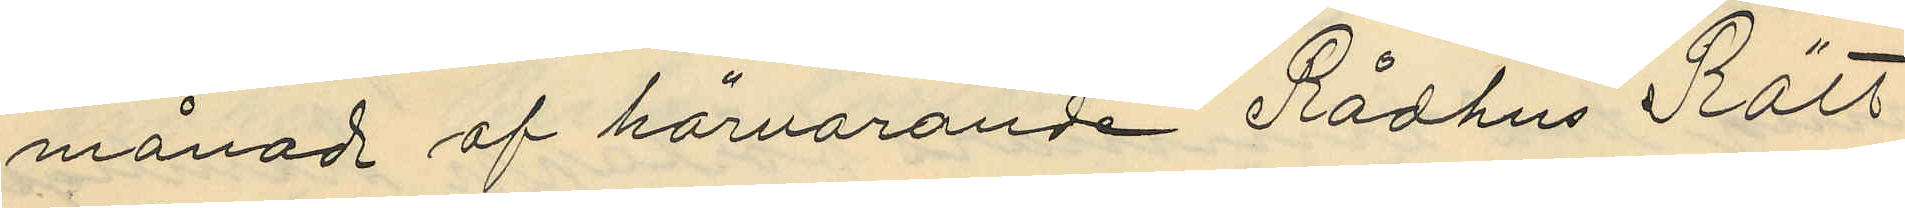månad af härvarande Rådhus Rätt
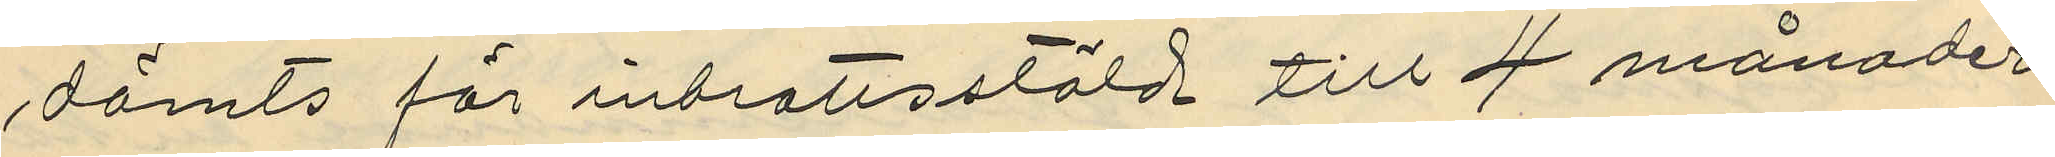dömts för inbrottsstöld till 4 månader
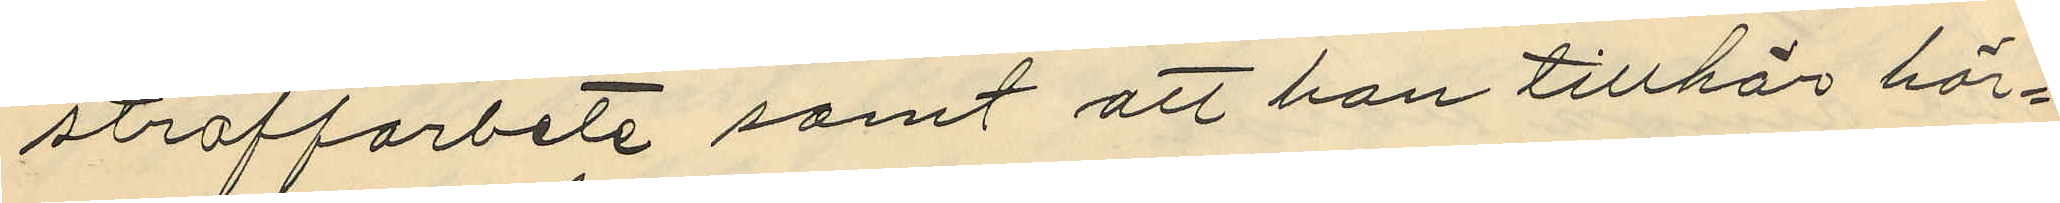straffarbete samt att han tillhör här¬
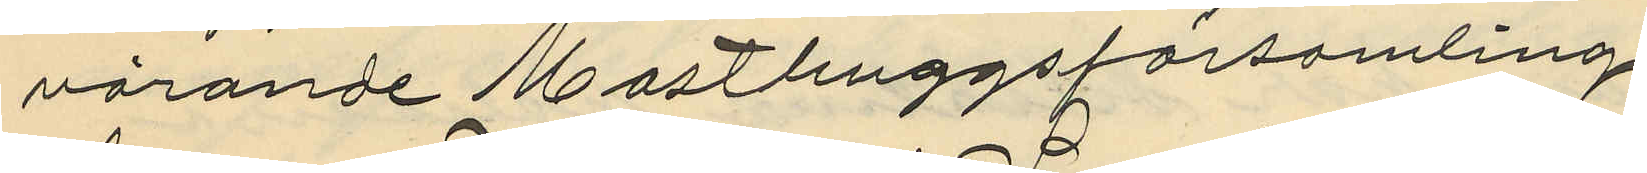varande Masthuggsförsamling.
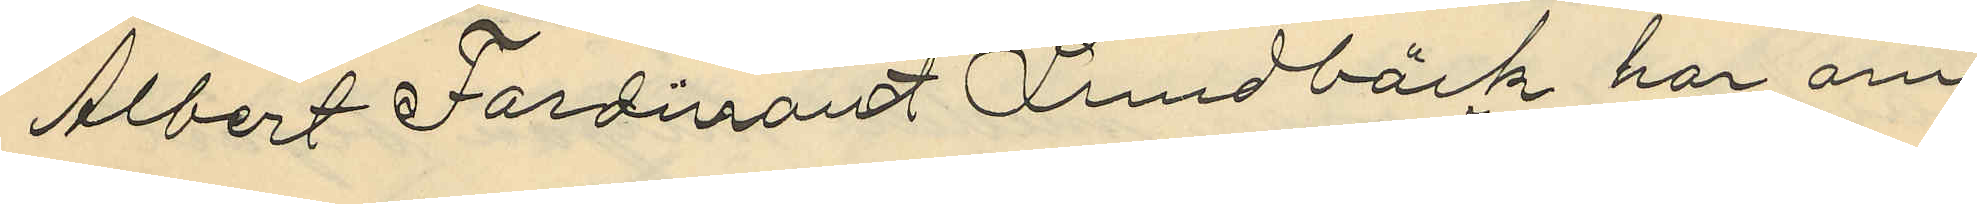Albert Ferdinand Lundbäck har om
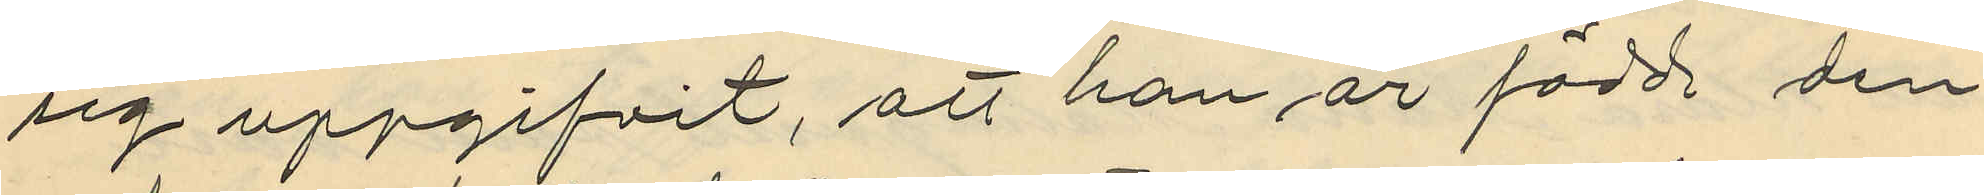sig uppgifvit, att han är född den
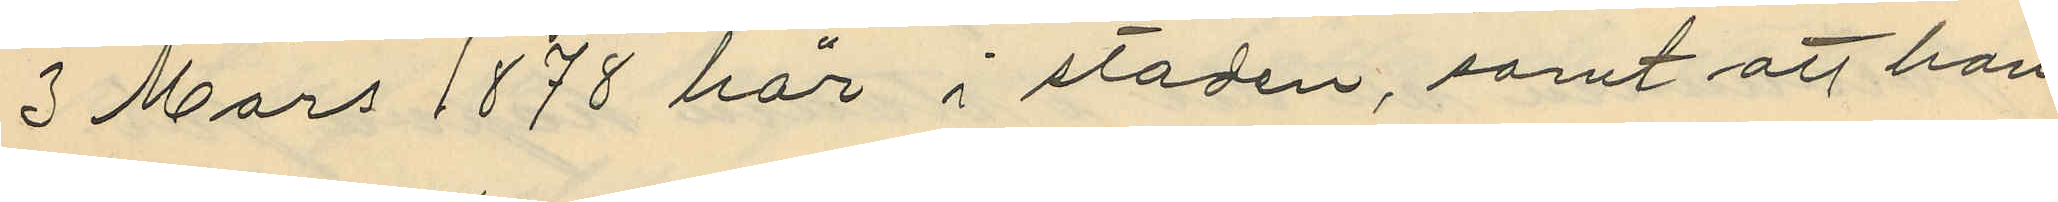3 Mars 1878 här i staden, samt att han
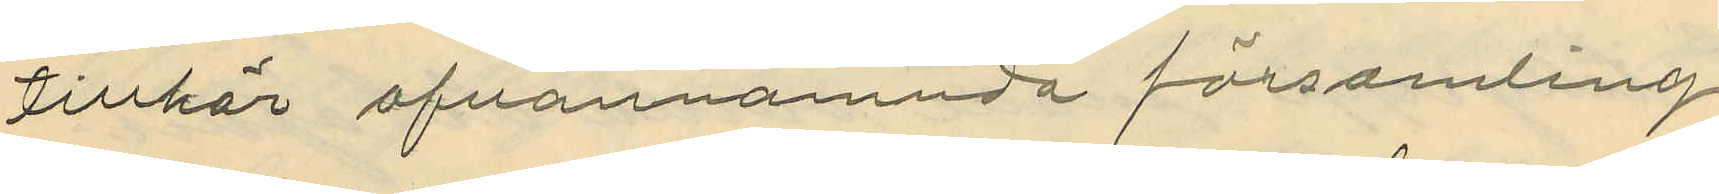tillhör ofvannämnda församling
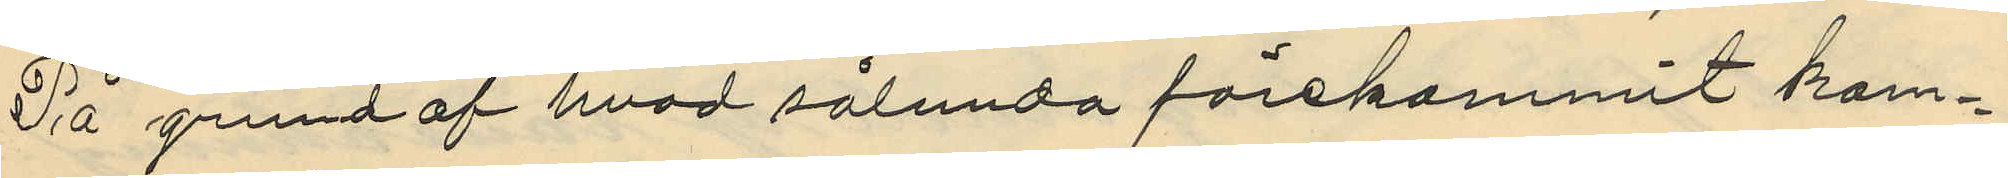På grund af hvad sålunda förekommit kom¬
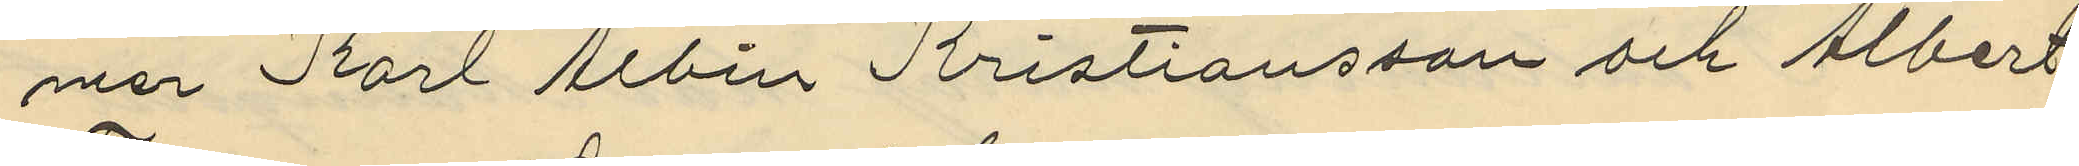mer Karl Albin Kristiansson och Albert
